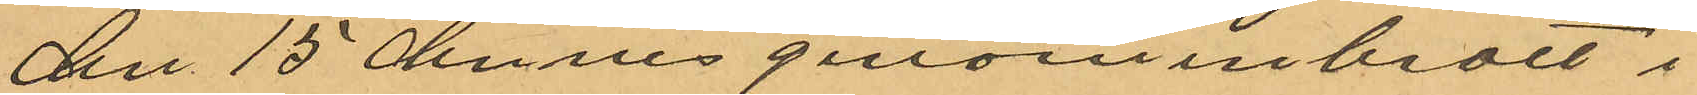den 15 dennes genom inbrott i
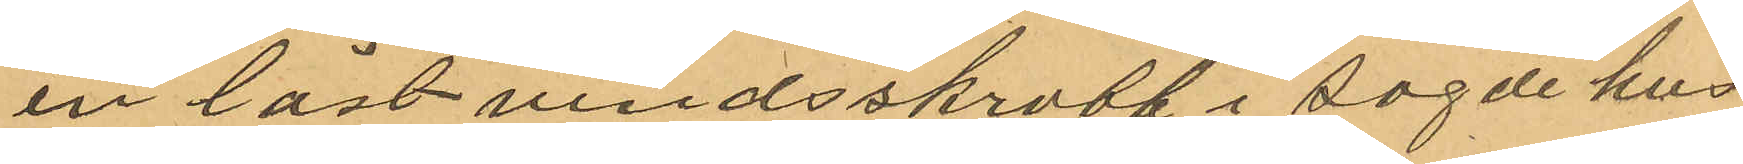en låst vindsskrubb i sagde hus
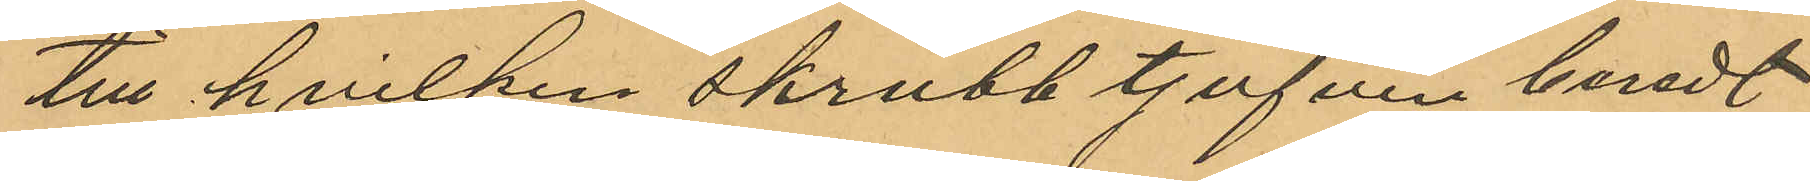till hvilken skrubb tjufven beredt
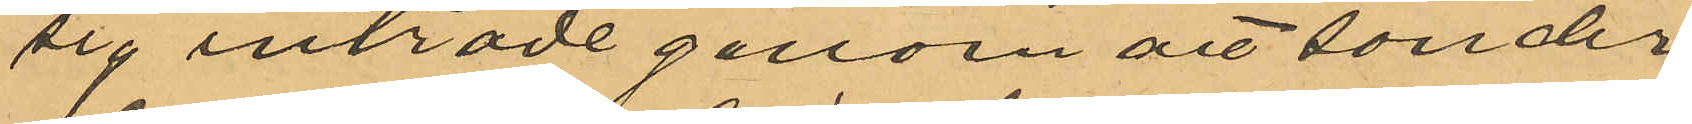sig inträde genom att sönder¬
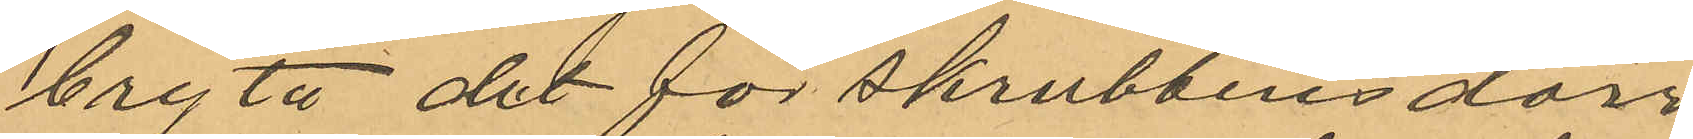bryta det för skrubbens dörr
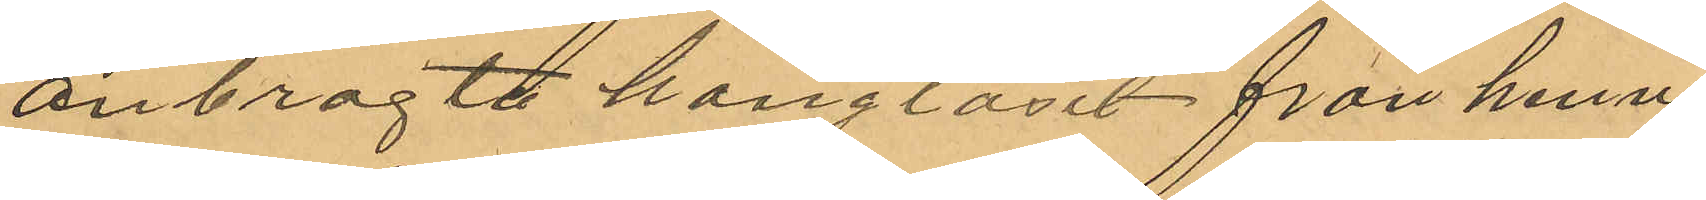anbragte hänglåset från henne
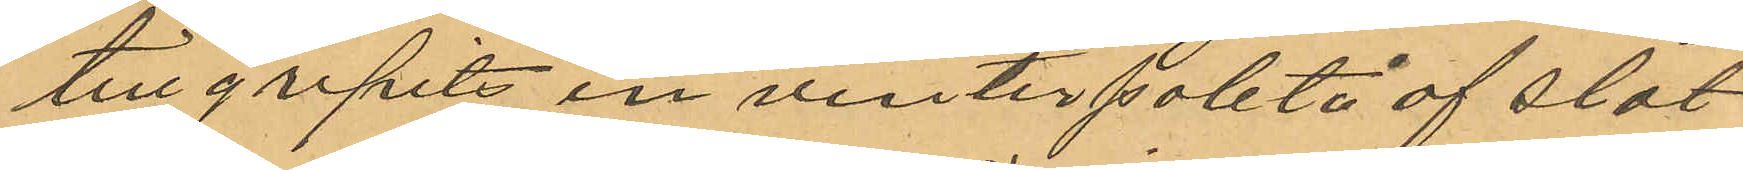tillgripits en vinterpaletå af slät
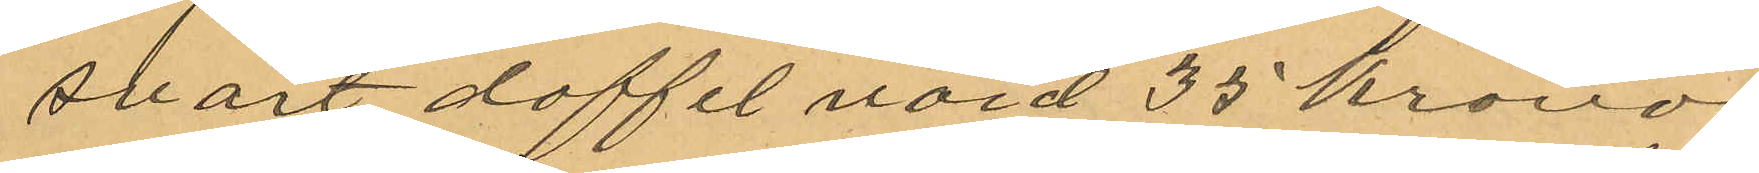svart doffel värd 35 kronor.
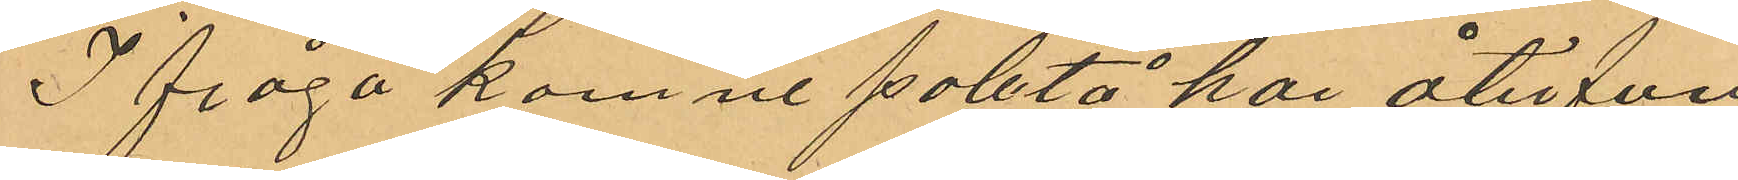Ifrågakomne paletå har återfun¬
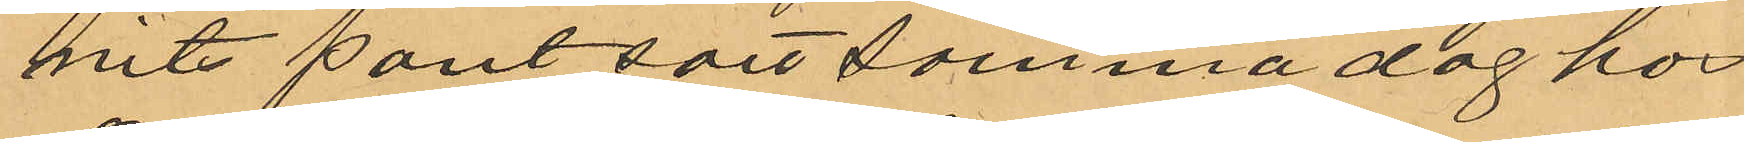nits pantsatt samma dag hos
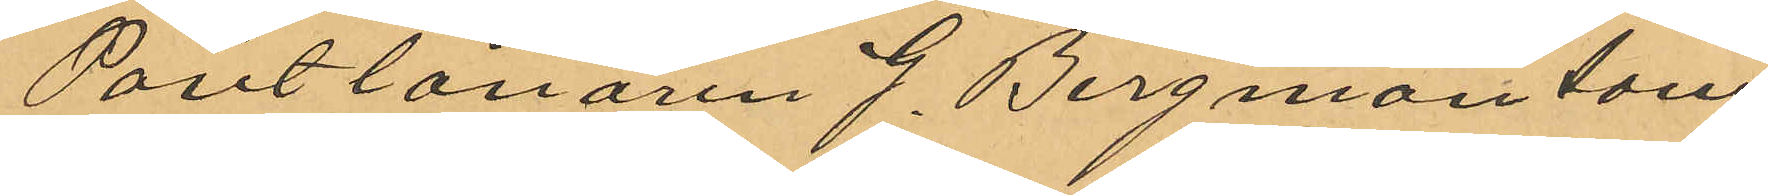Pantlånaren J. Bergman som
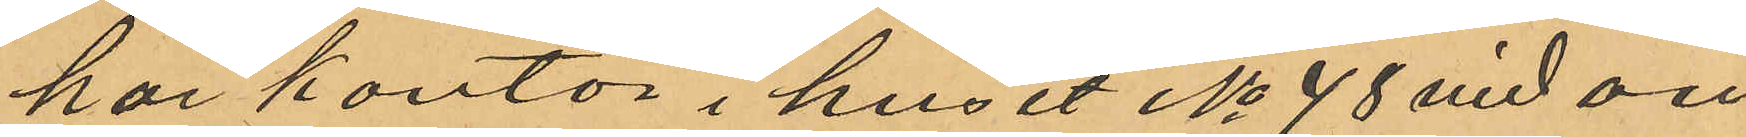har kontor i huset No 48 vid an¬
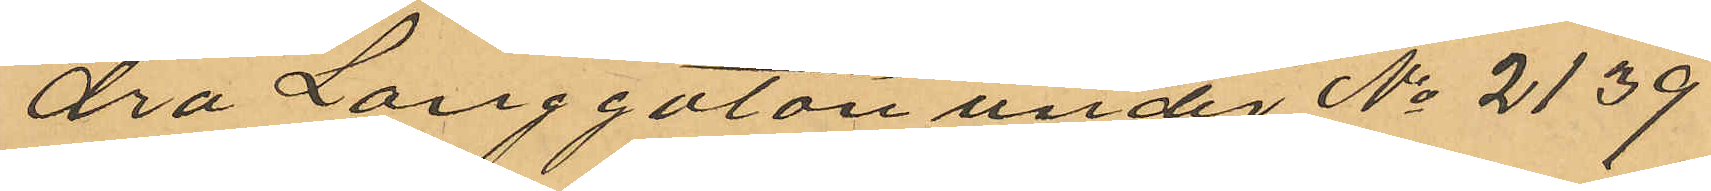dra Lårggatan under No 2139
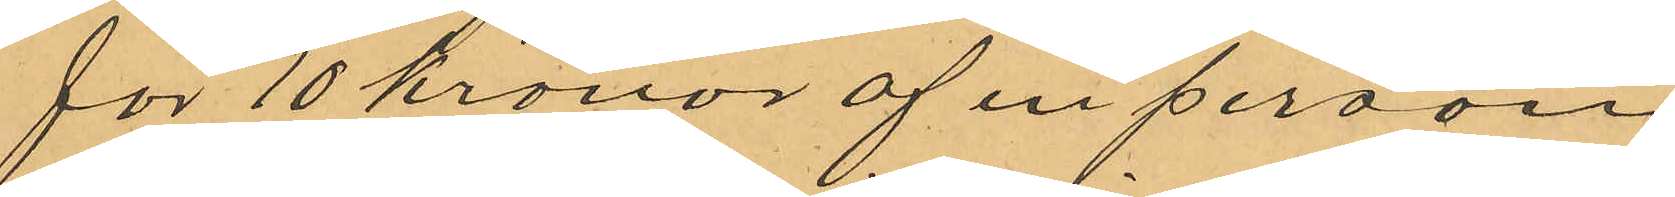för 10 kronor af en person
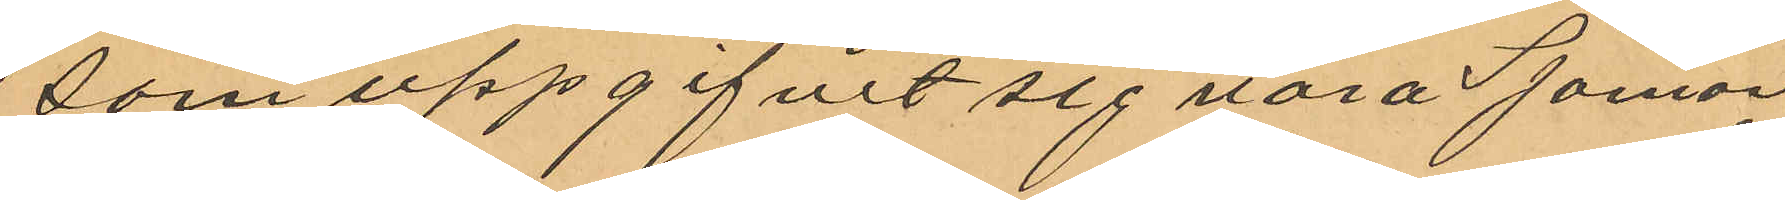som uppgifvit sig vara Sjöman¬
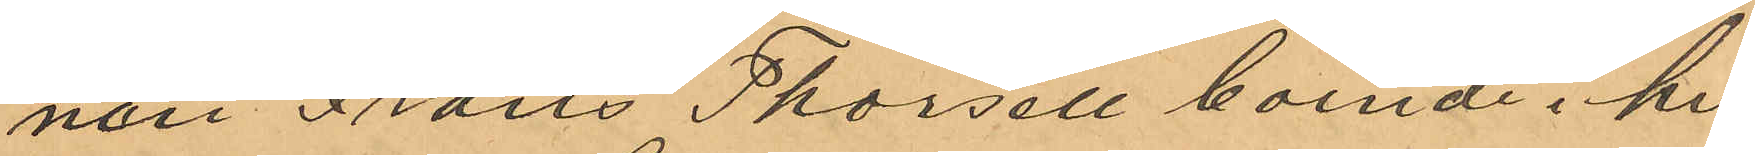non Frans Thorsell boende i hu¬
